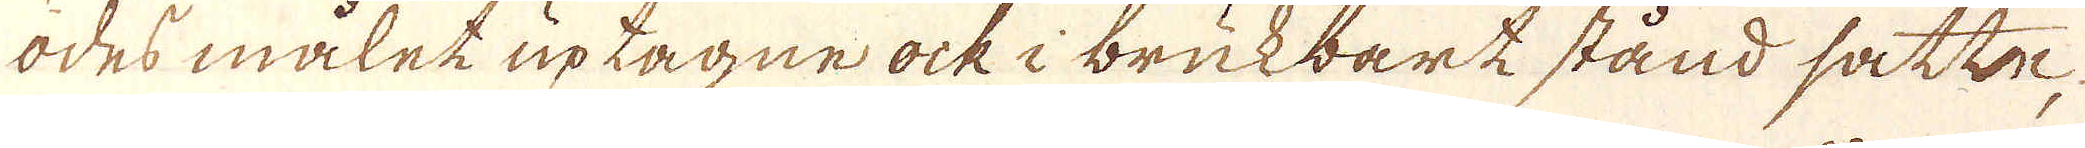ödes målet uptagne ock i brukbart stånd satte,
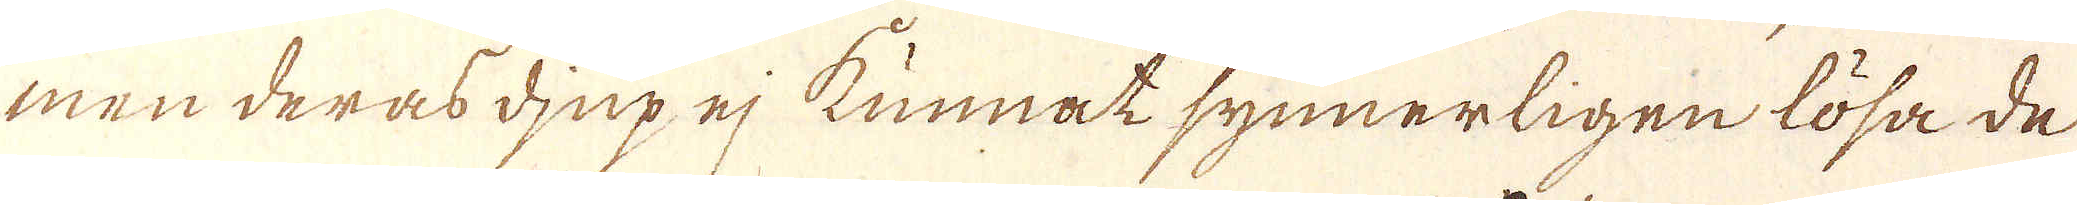men deras djup ej kunnat synnerligen lösa de
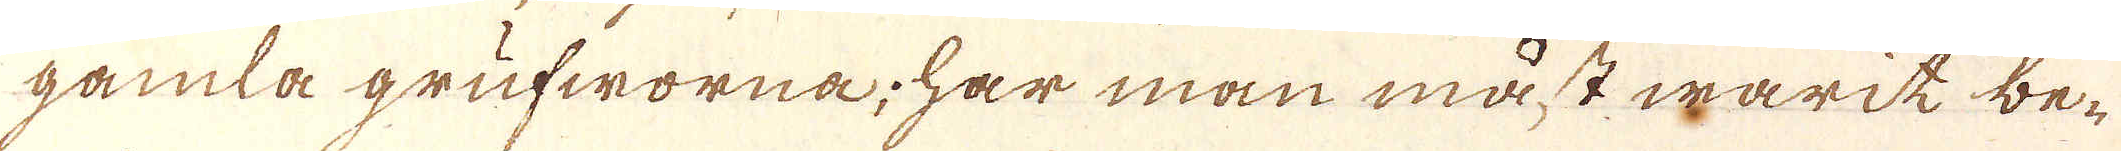gamla grufworna; har man måst wärdt be-
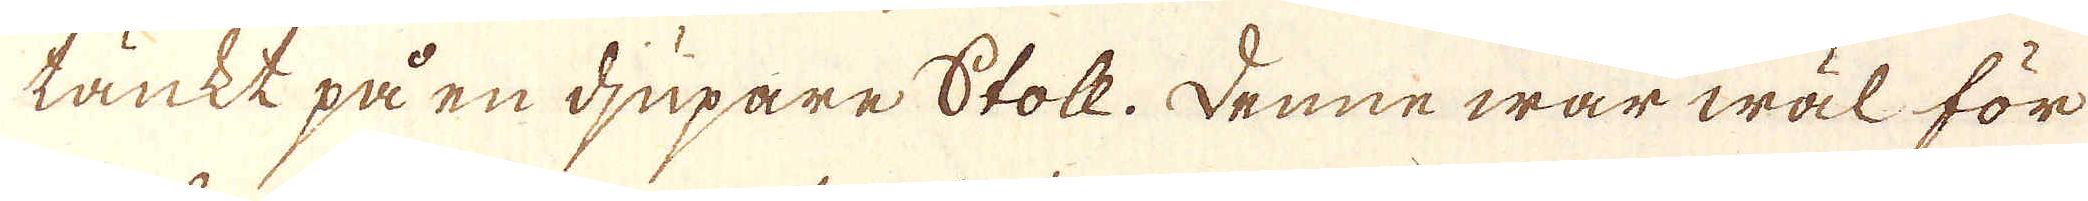tänkt på en diupare Stoll. Denne war wäl för
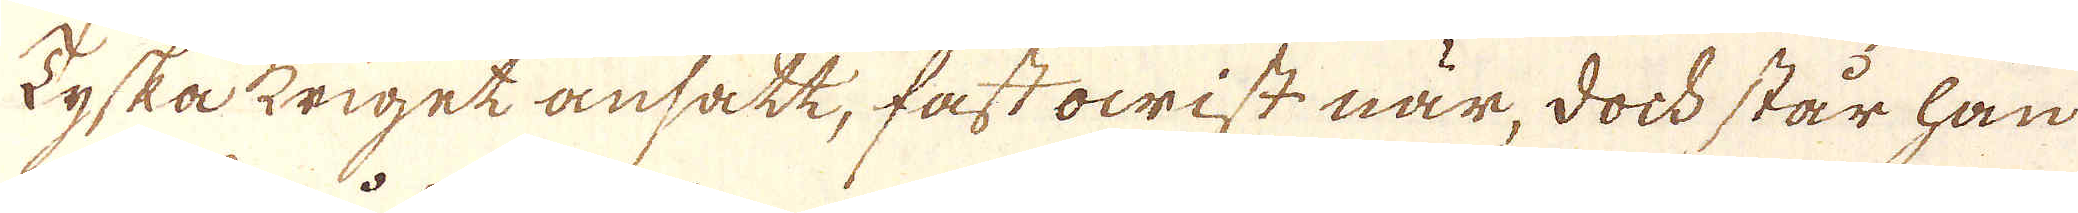Tyska kriget ansatt, fast owist när, dock står han
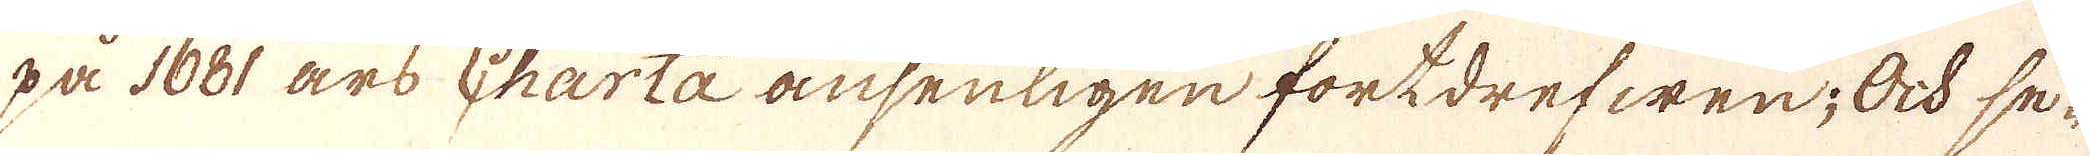på 1681 års Charta ansenligen fortdrefwen; Ock se-
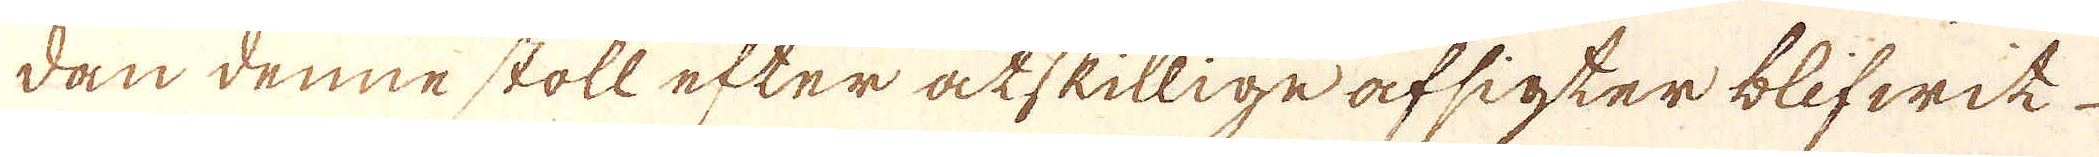dan denne stoll efter åtskillige afsigter blifwit
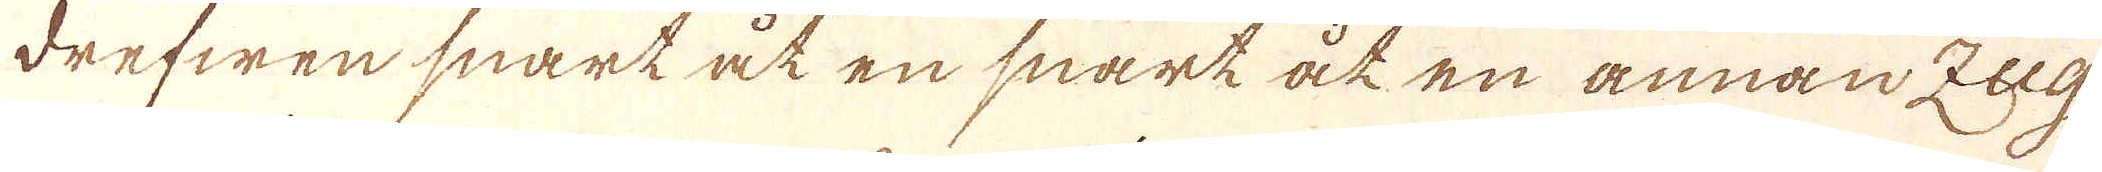drefwen snart åt en snart åt en annan Zug
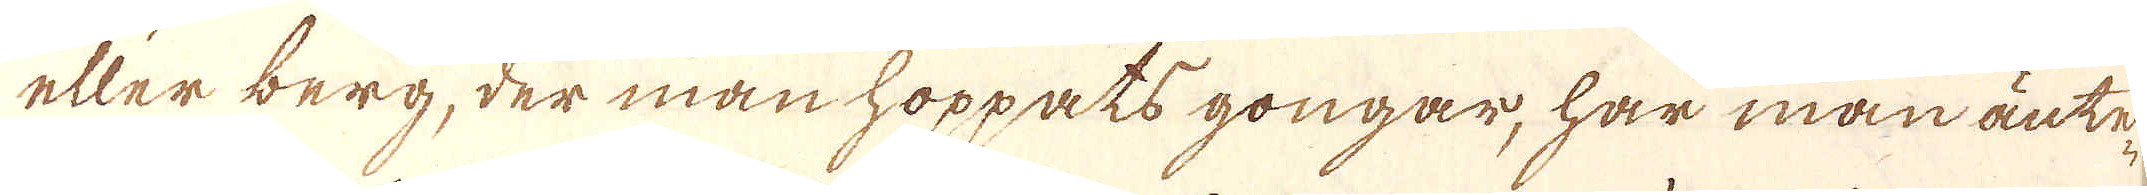eller berg, der man hoppats gongar, har man änte-
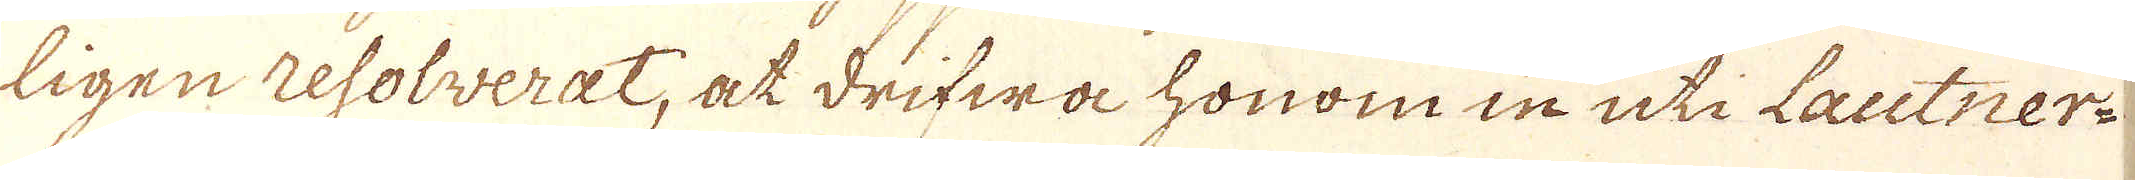ligen resolverat, at drifwa honom in uti Lautner-
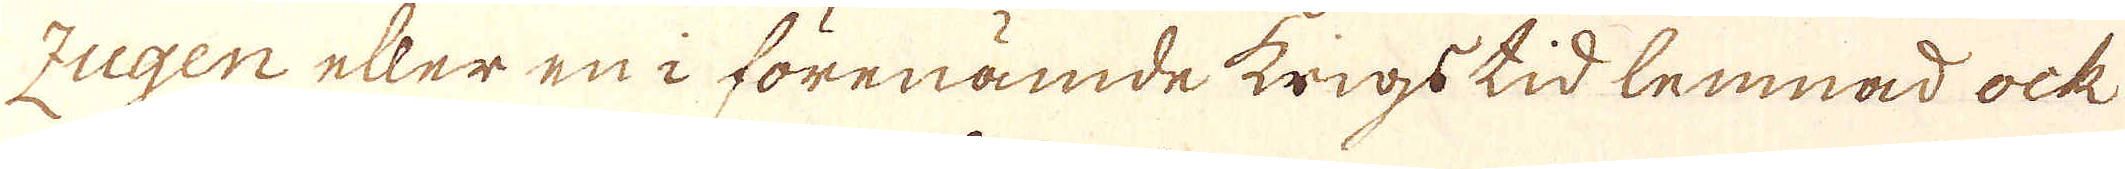Zugen eller en i förenämde krigs tid lemnad ock
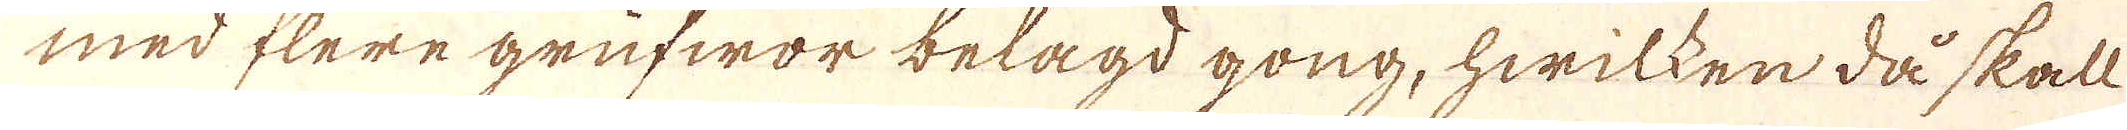med flere grufwor belagd gong, hwilken då skall
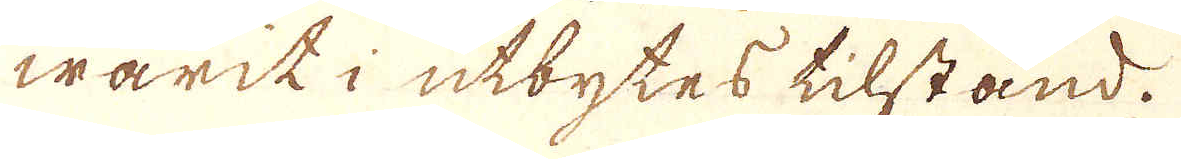warit i utbytes tilstånd.
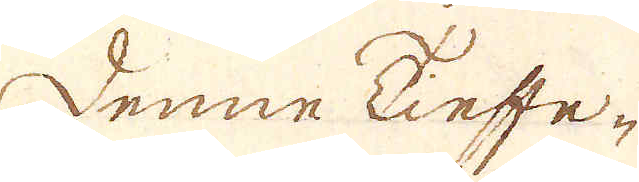Denne Tieste-
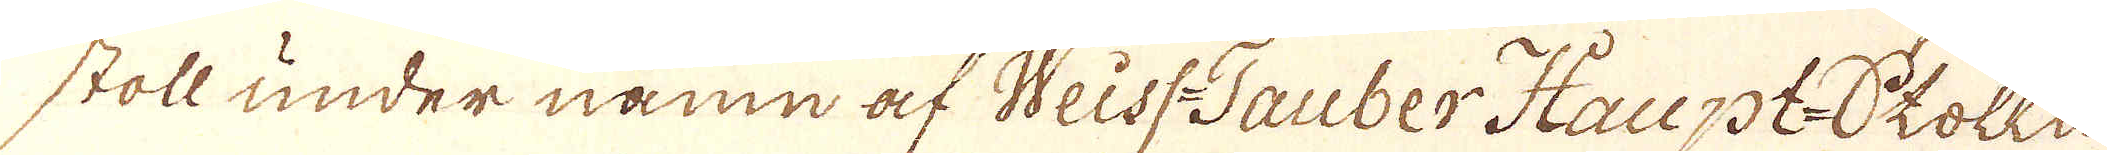stoll under namn af Weiss-Tauber Haupt-Stolln
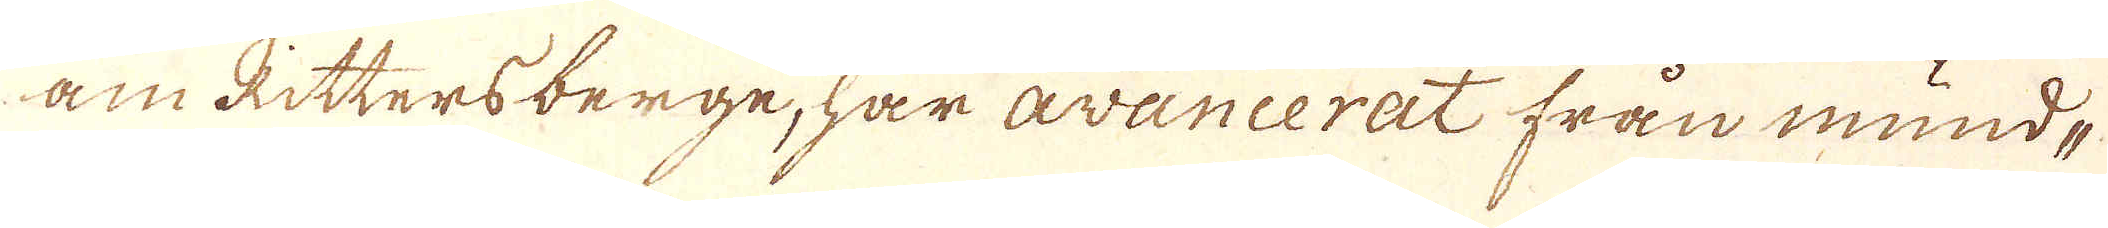am Rittersberge, har avancerat från mund-
